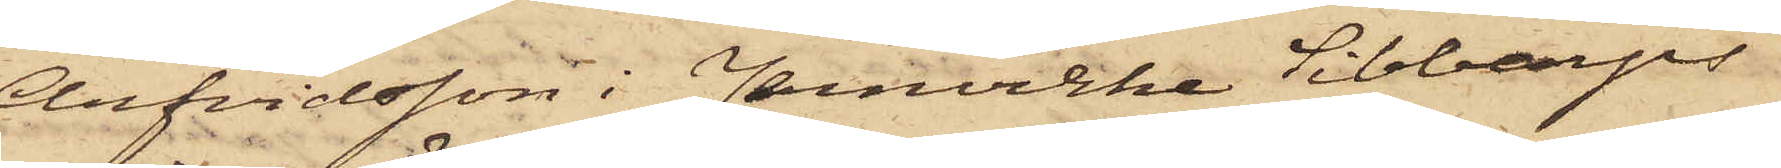Arfvidsson i Jernvirke Sibbarps
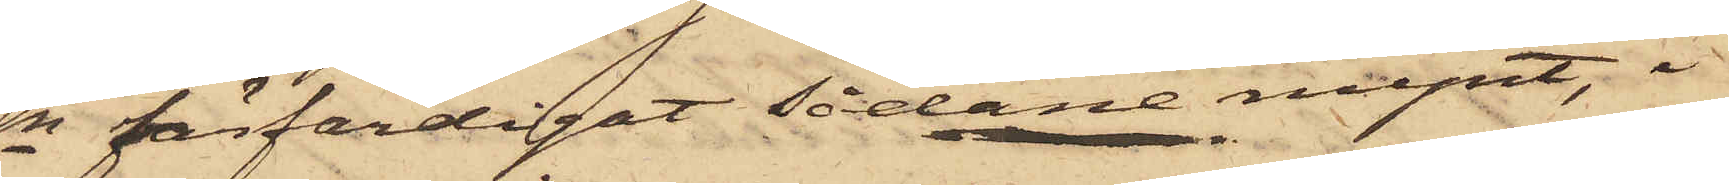Sn förfärdigat sådane mynt, i
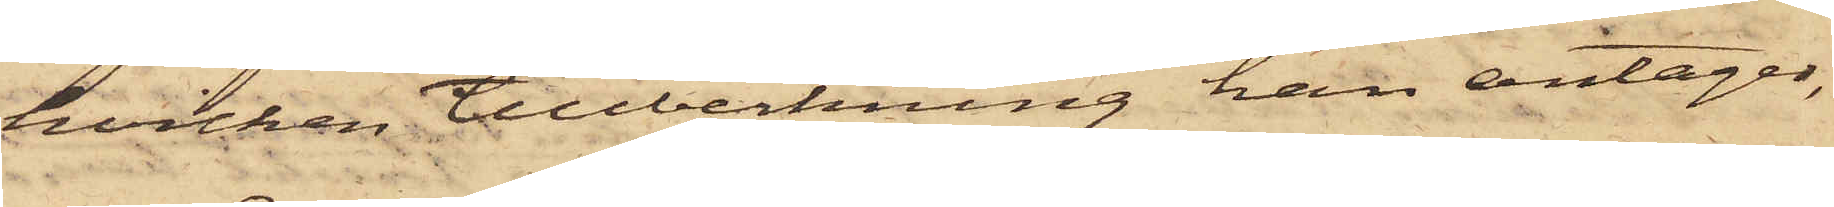hvilken tillverkning han antager,
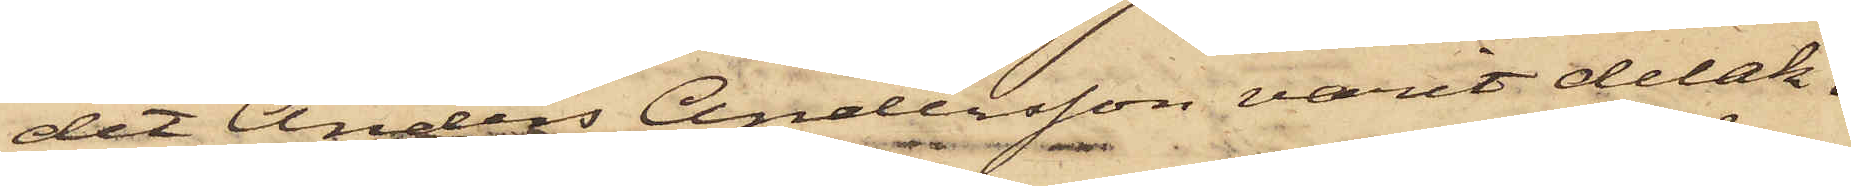det Anders Andersson varit delak¬
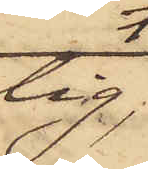tig,
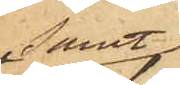samt
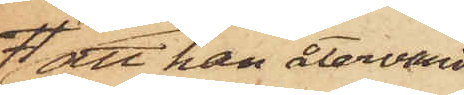att han återvändt
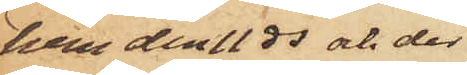hem den 11 ds och der
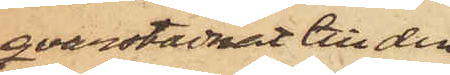qvarstadnat till den
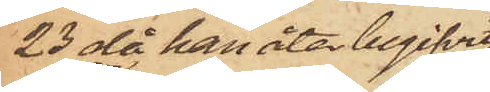23 då han åter begifvit
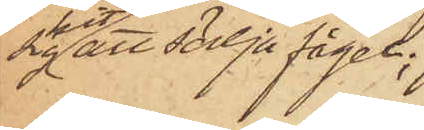sig hit att sälja fågel;
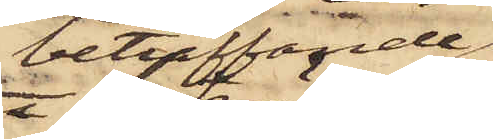beträffande
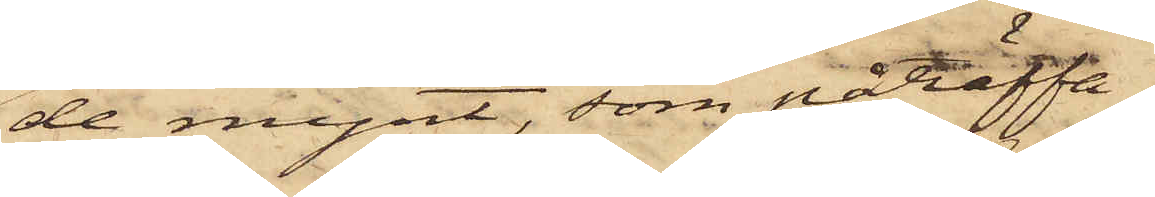de mynt, som påträffa¬
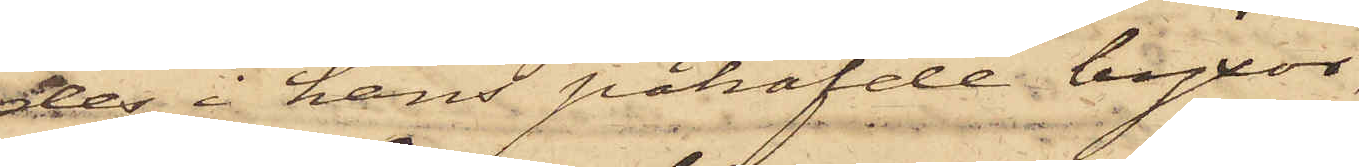des i hans påhafvde byxor,
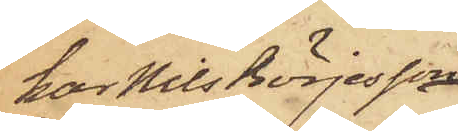har Nils Börjesson
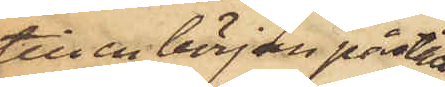till en början påstått
